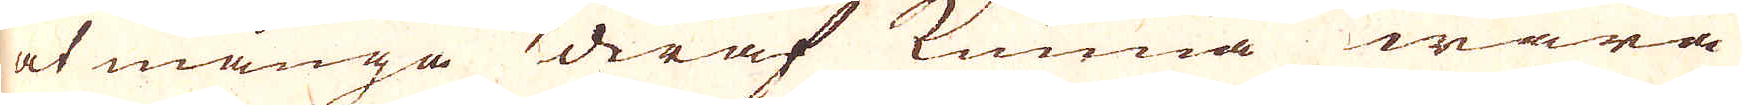at många deraf kunna wara
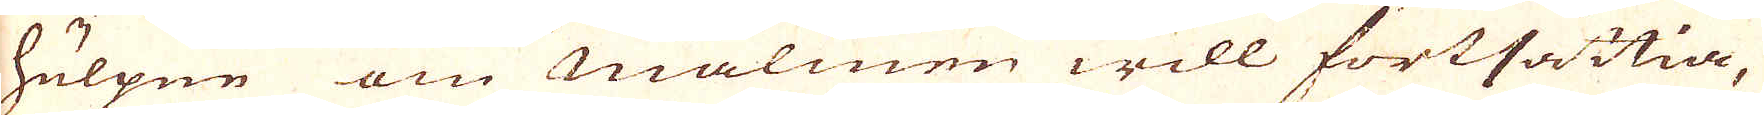hulpne om malmen will fortsättia,
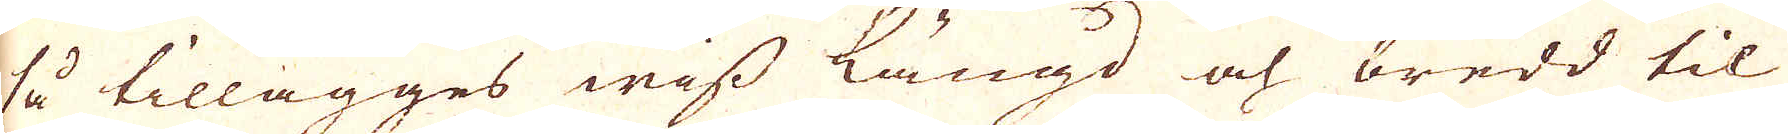så tillägges wiss längd och bredd til
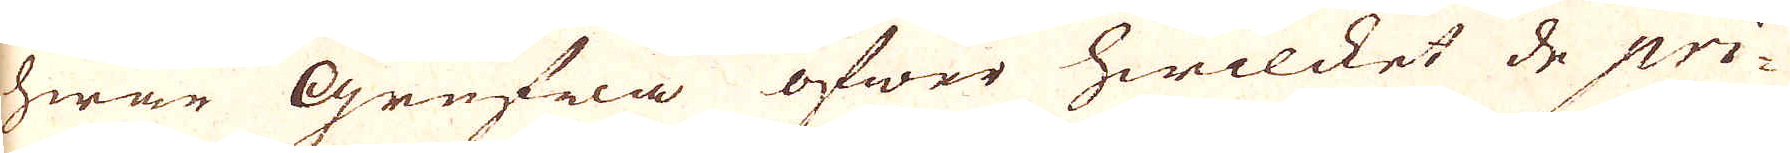hwar Grufwa öfwer hwilcket de pri-
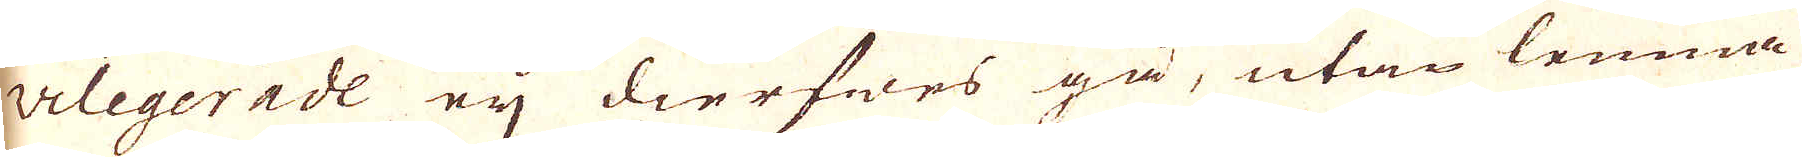vilegerade eij dierfwes gå, utan lemna
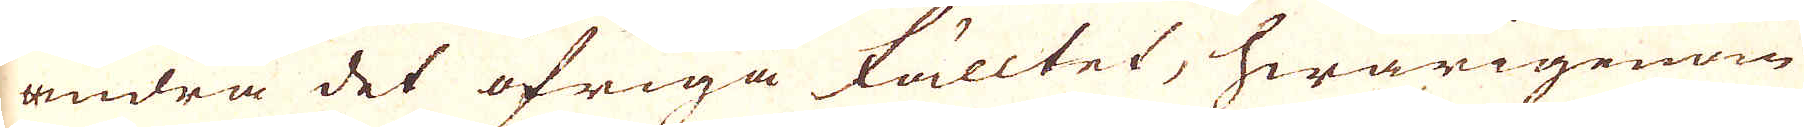andra det öfriga fälltet, hwarigenom
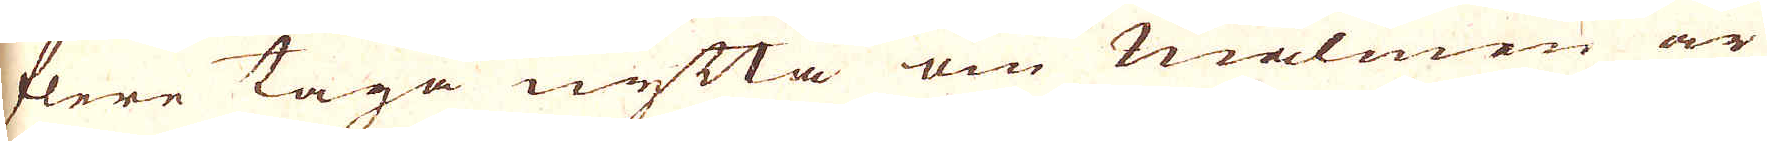flere taga nytta om malmen är
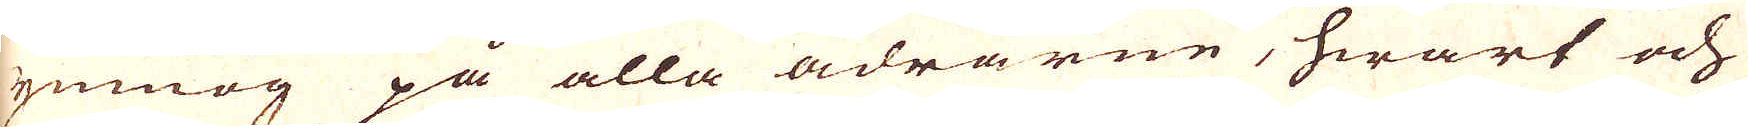ymnog på alla ådrarne, hwart och
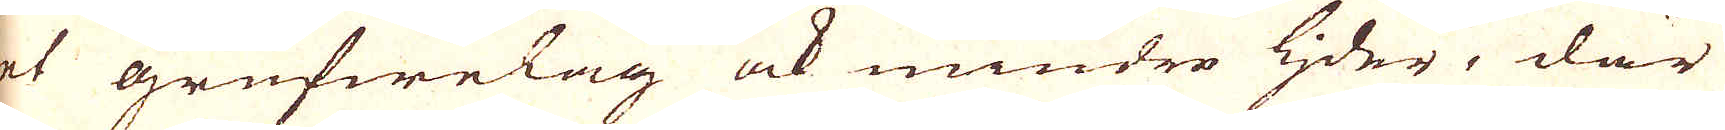et grufwelag ock mindre ljder, där
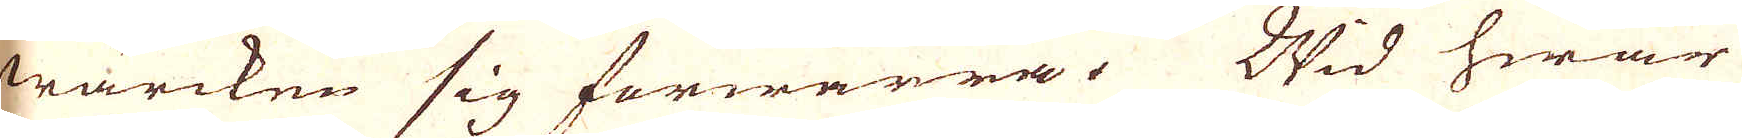wärcken sig förwärra. Wid hwar
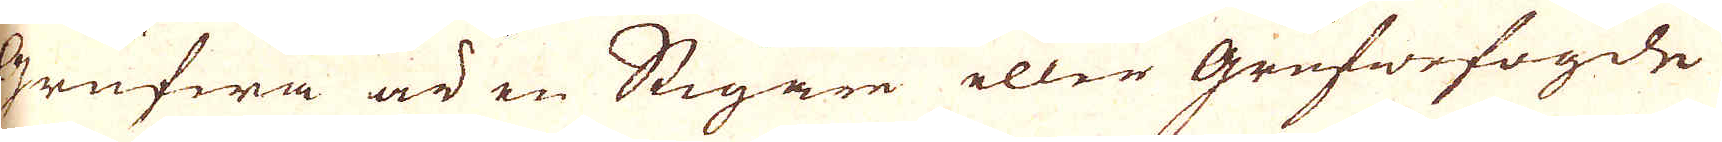Grufwa är en Stigare eller grufwefogde
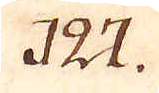127.
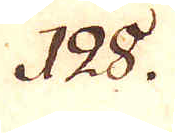128.
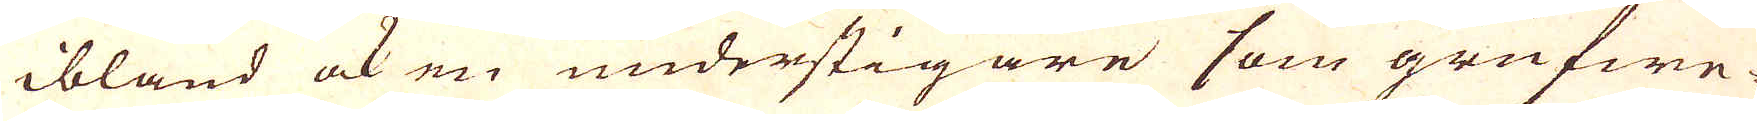ibland ock en understigare som grufwe-
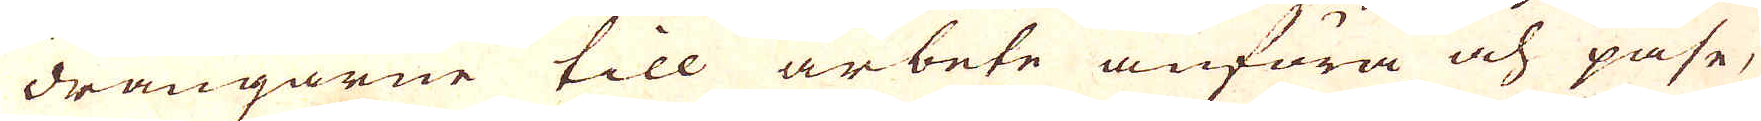drängarne till arbete anföra och påse,
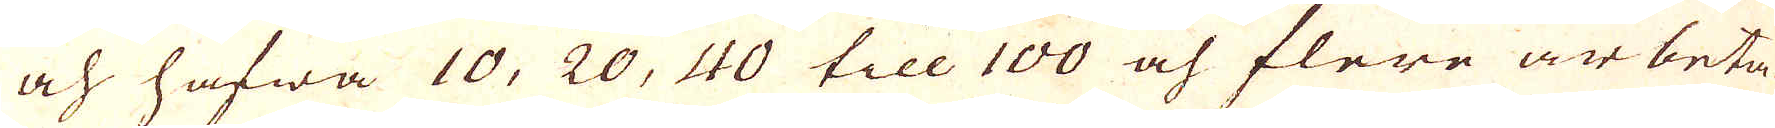och hafwa 10, 20, 40 till 100 och flere arbeta-
